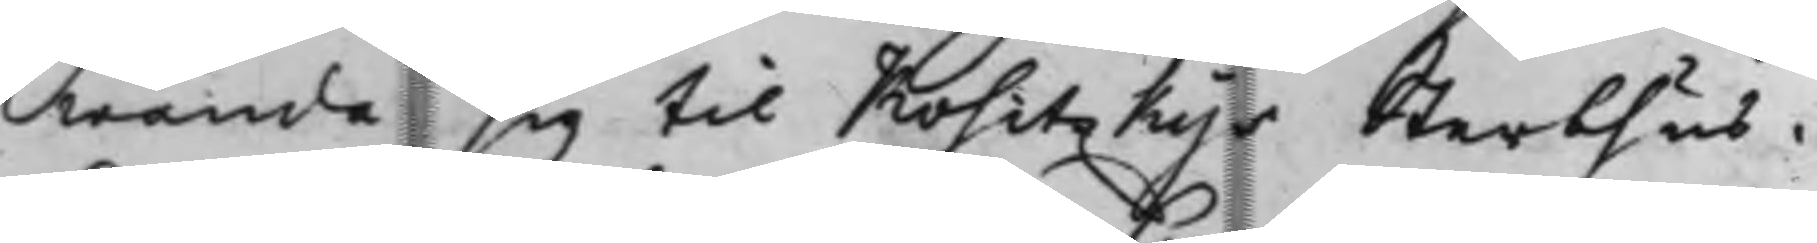wända sig til Kositzkys Sterbhus.
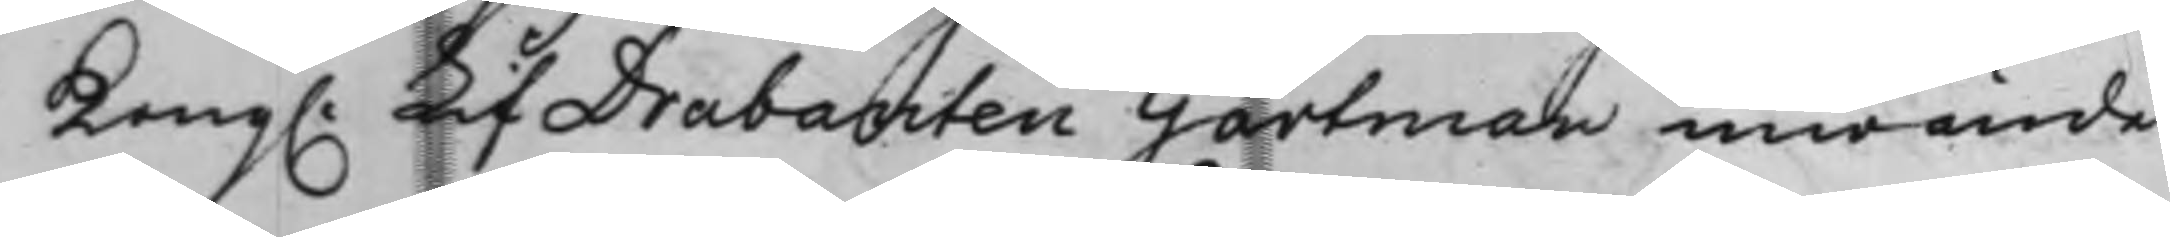Kong. LifDrabanten Gartman inwände
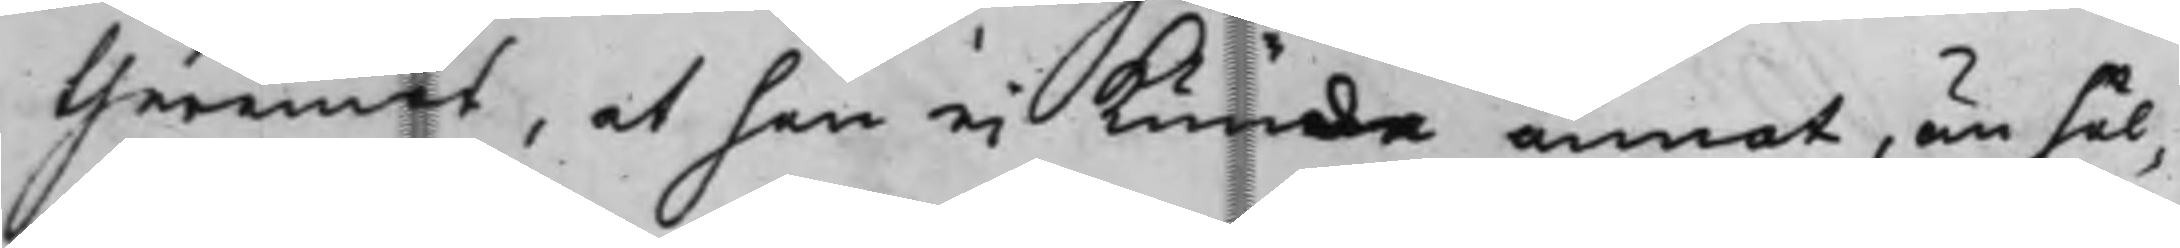theremot, at han ei kunde annat, än hål¬
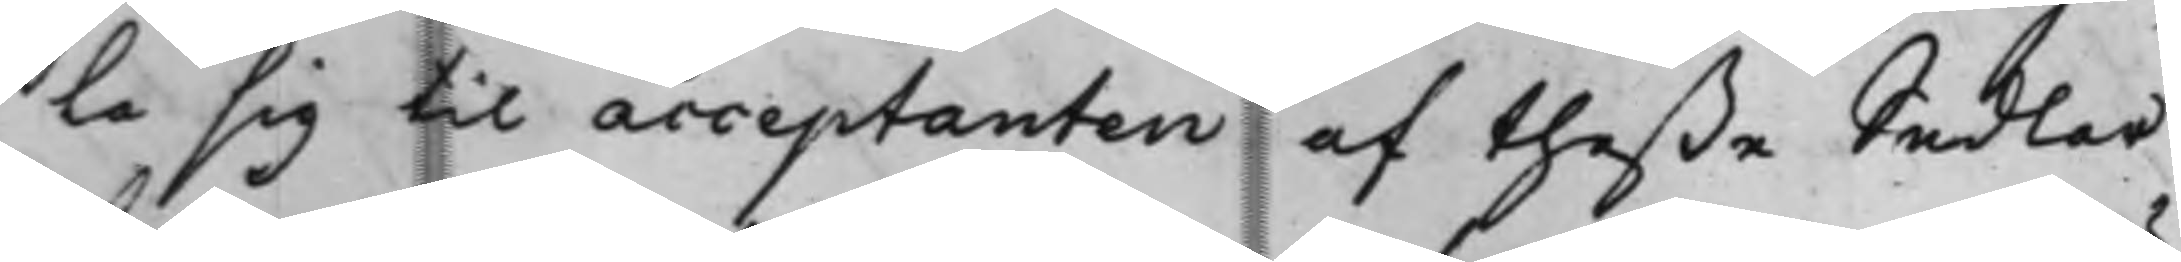la sig til acceptanten af theße Sedlar
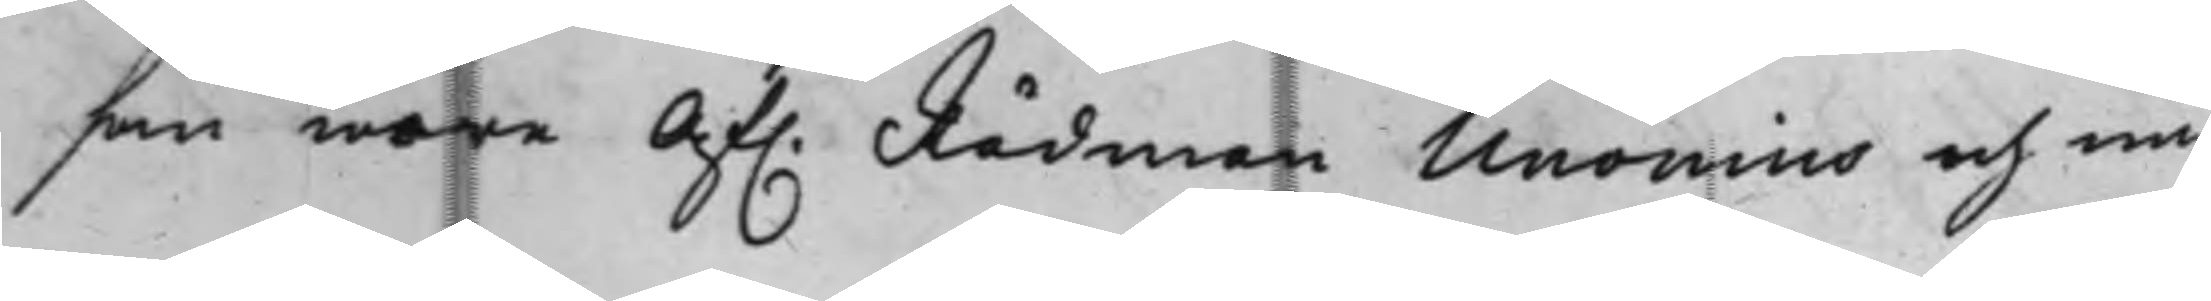som wore Af. Rådman Unonius och nu
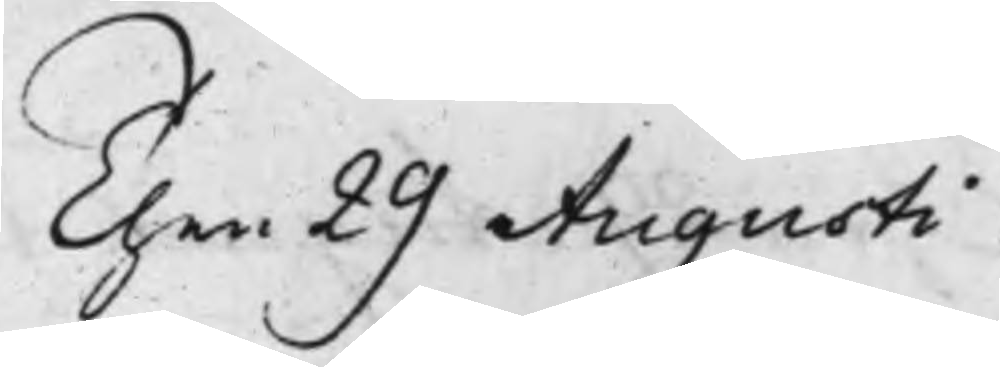then 29 Augusti
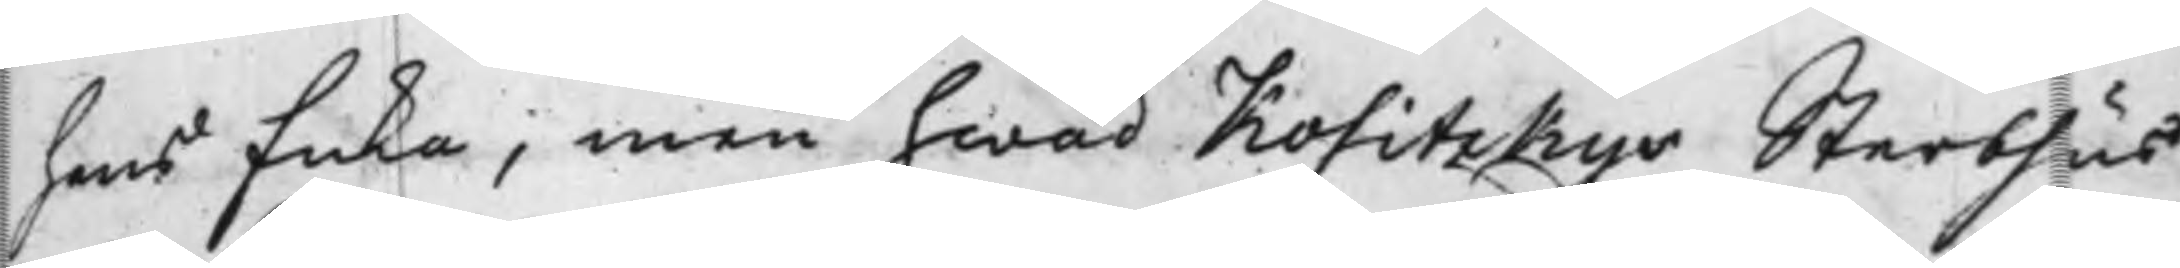hans Enka, men hwad Kositzkys Sterbhus
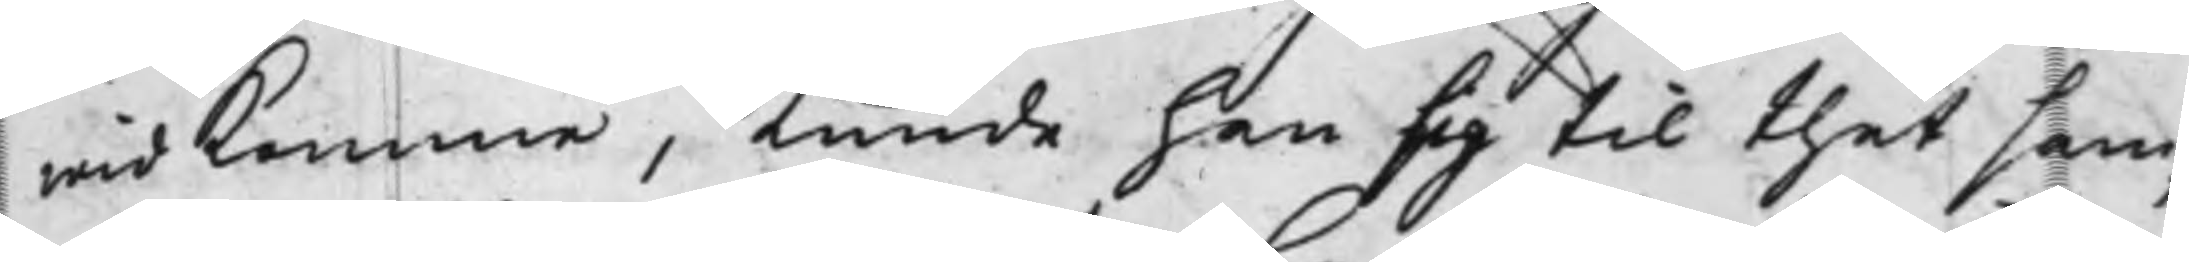widkomma, kunde han sig til thet sam¬
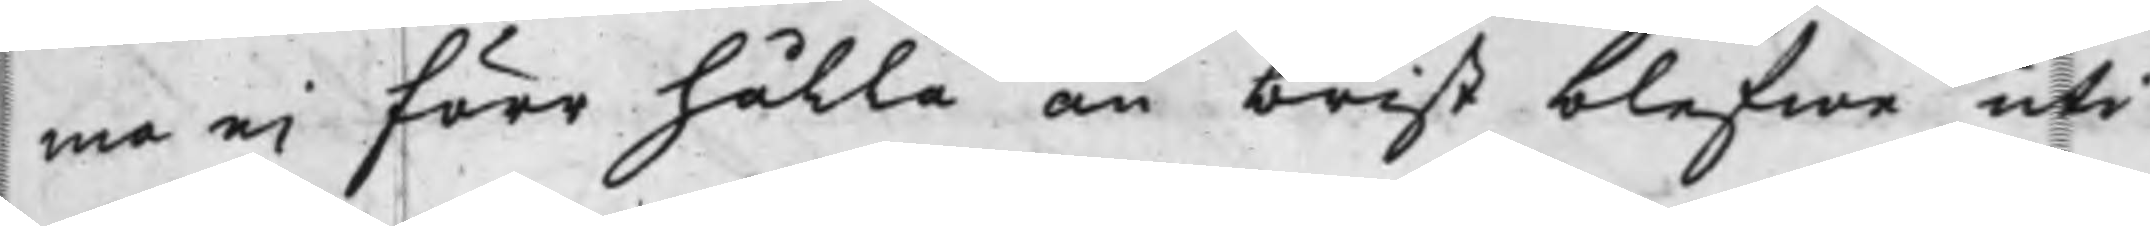ma ei förr hålla än brist blefwa uti
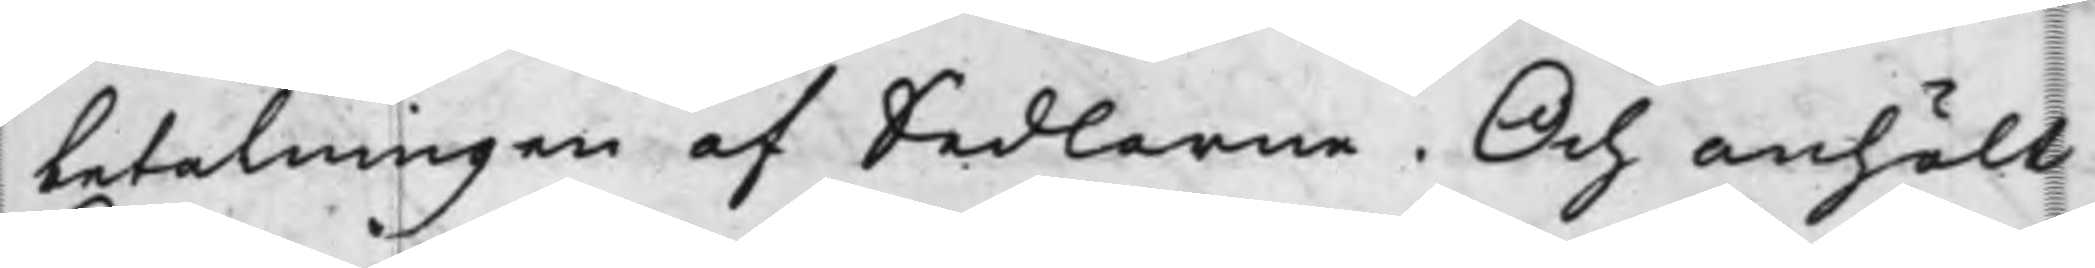betalningen af Sedlarne. Och anhölt
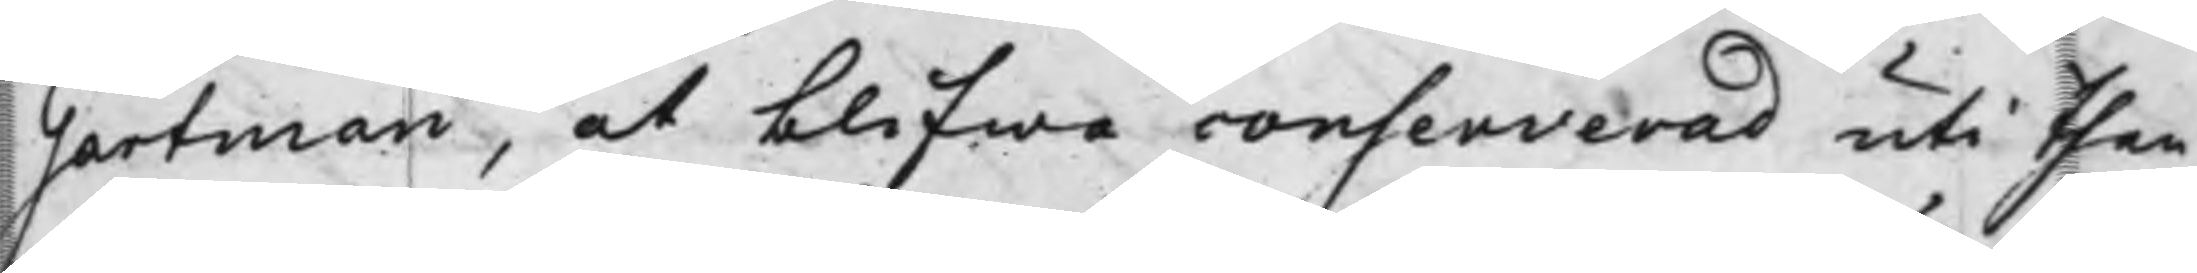Gartman, at blifwa consenverad uti then
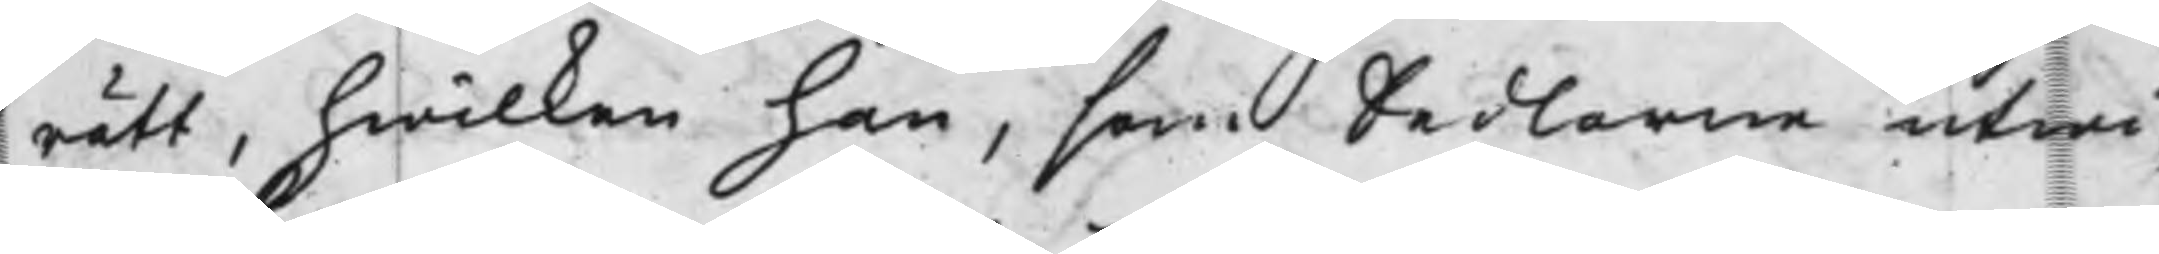rätt, hwilken han, som Sedlarne utwi¬
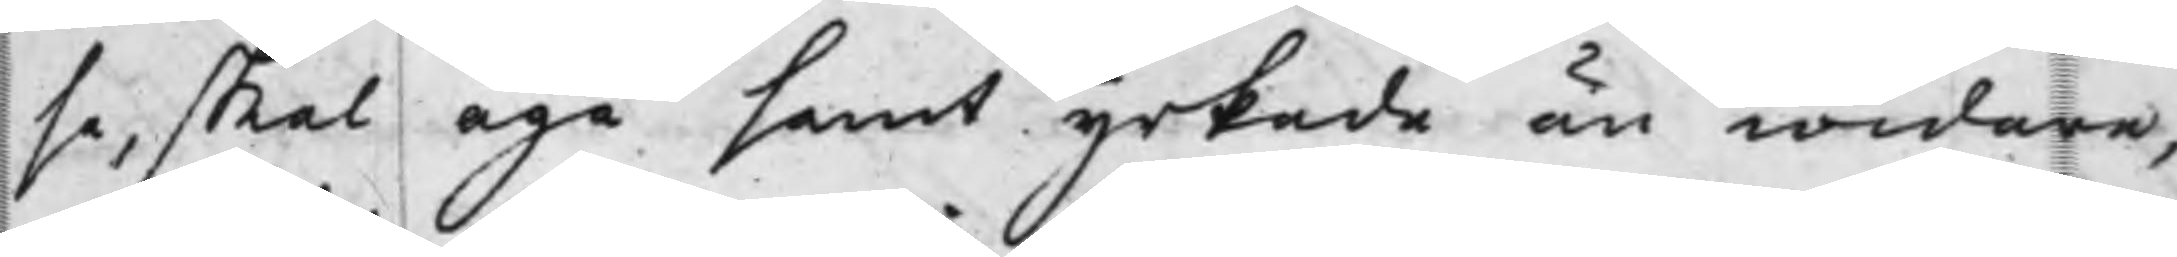sa, skal äga samt yrkade än widare,
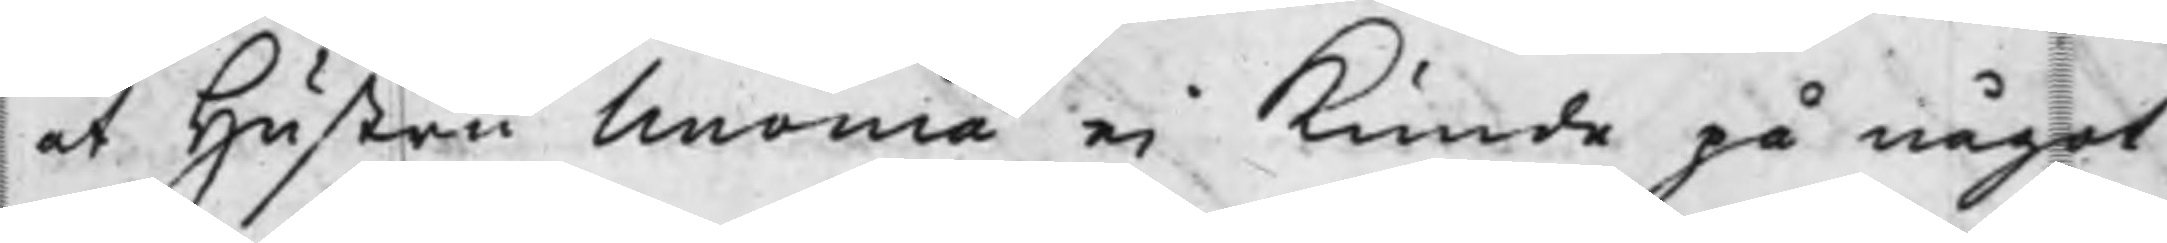at Hustru Unonia ei kunde på något
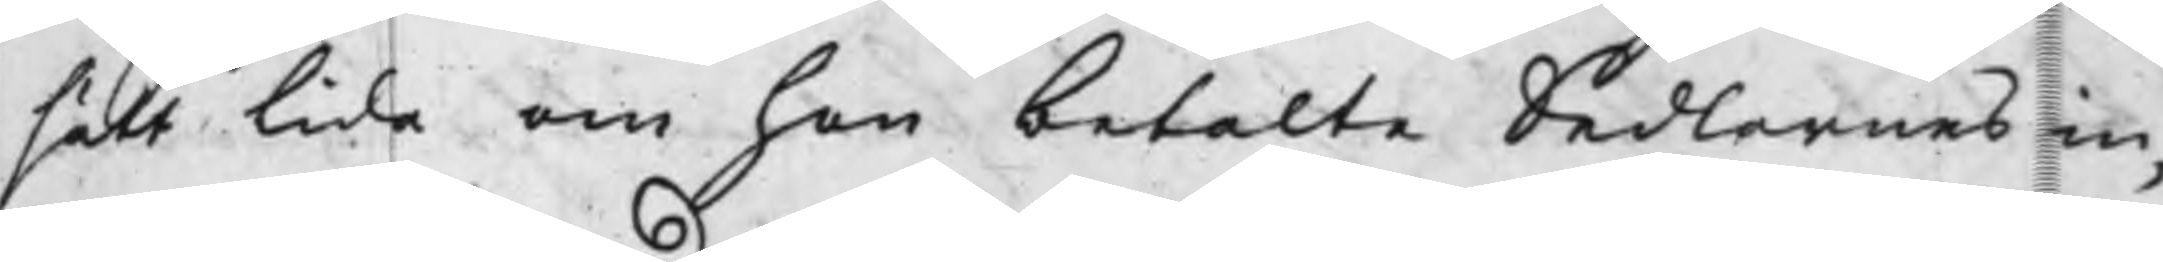sätt lida om hon betalte Sedlernes in¬
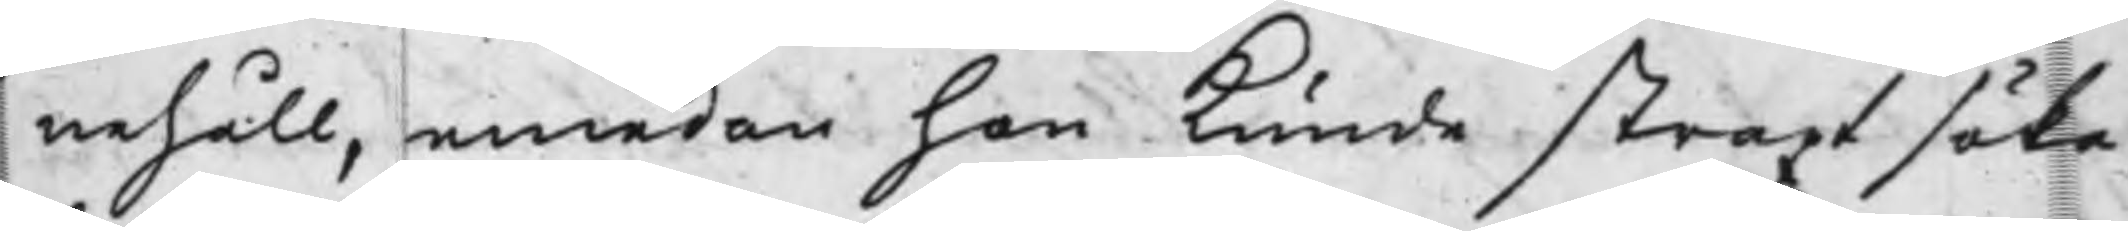nehåll, emedan hon kunde straxt söka
